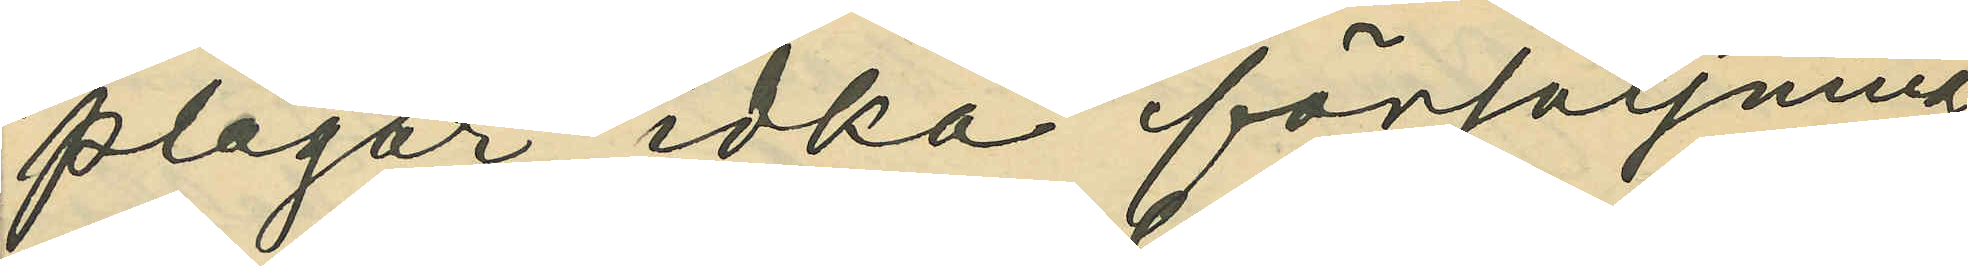plägar idka försäljning
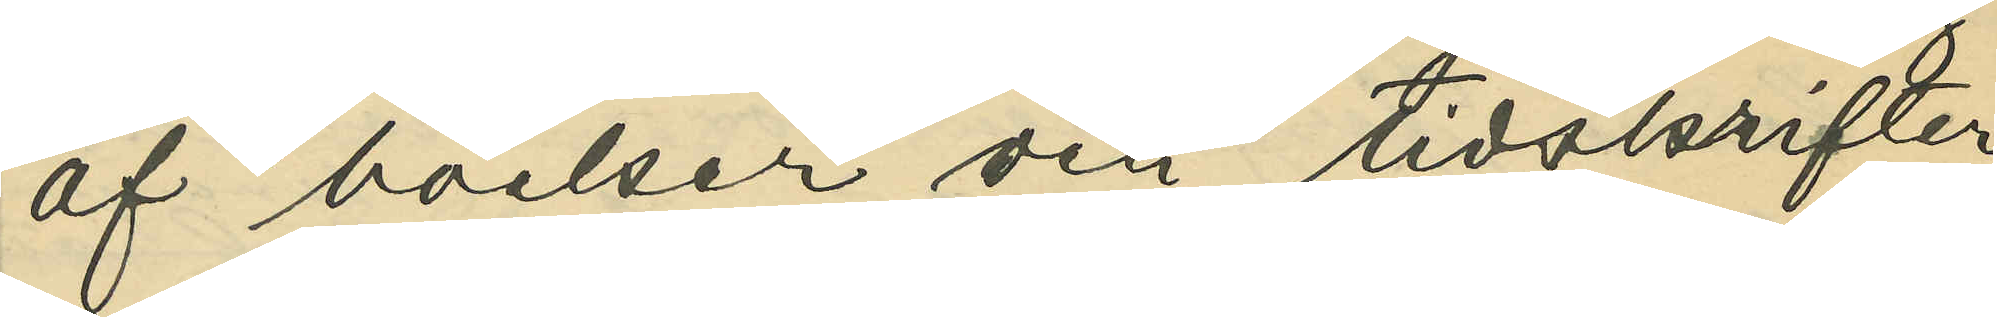af böcker och tidskrifter
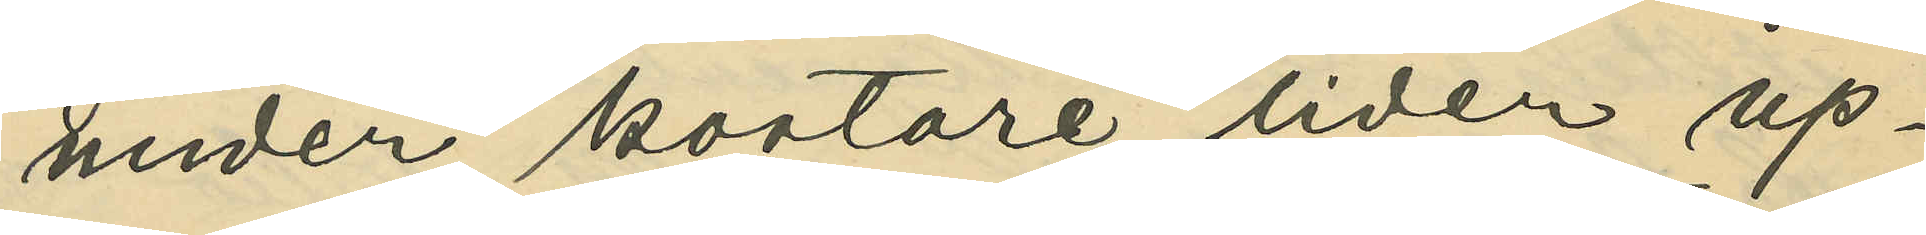under kortare tider up¬
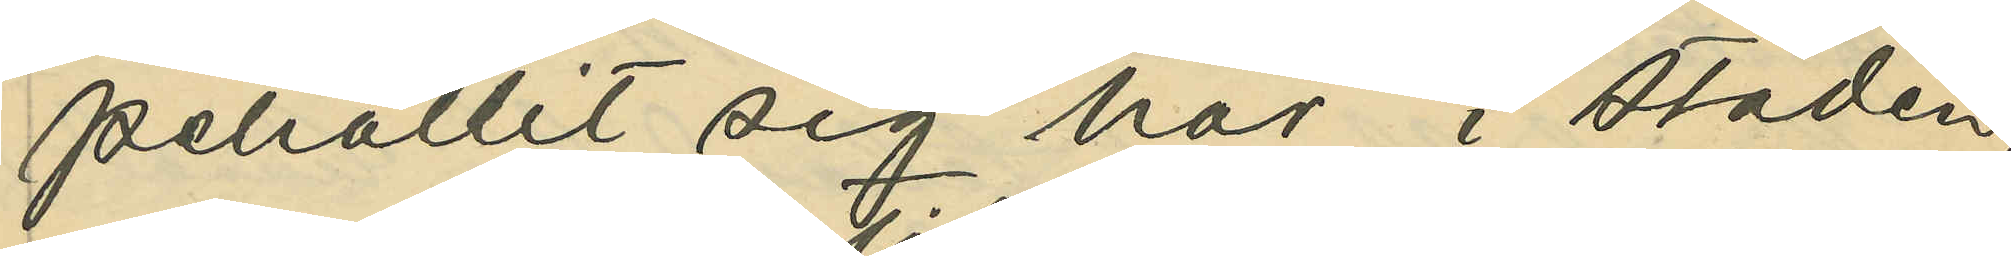pehållit sig här i staden,
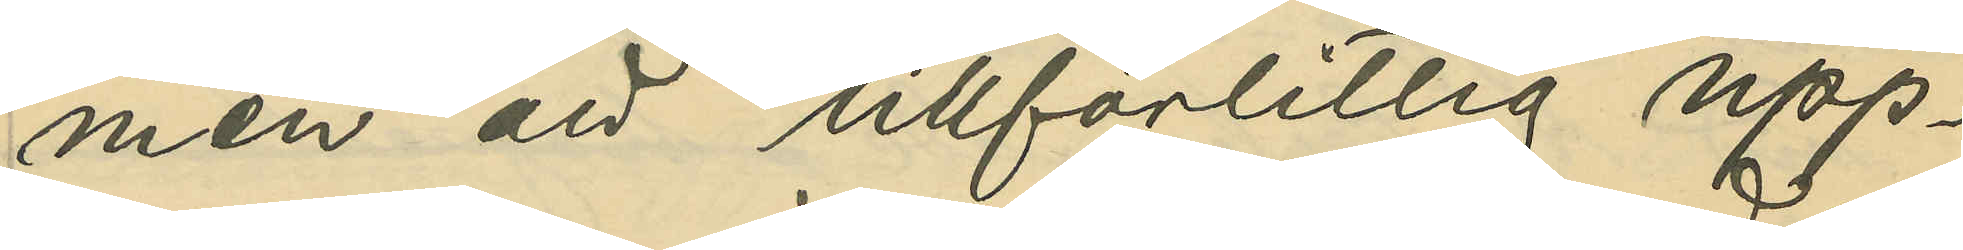men att tillförlitlig upp¬
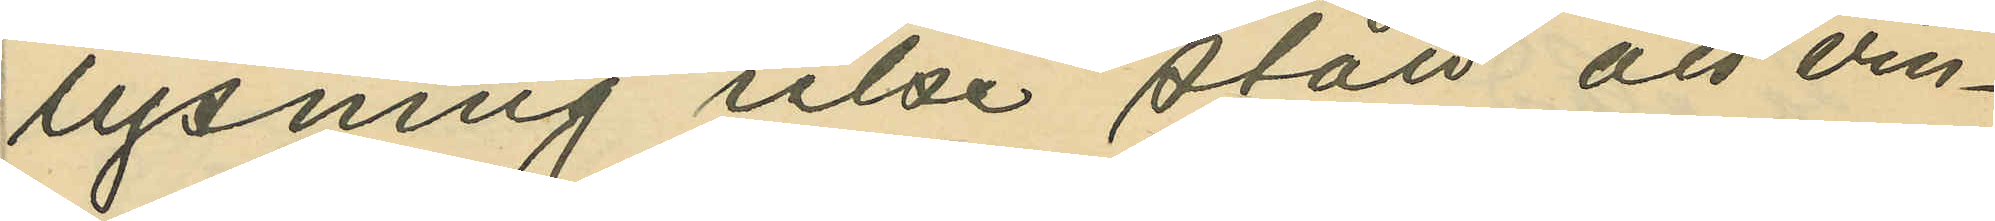lysning icke stått att vin¬
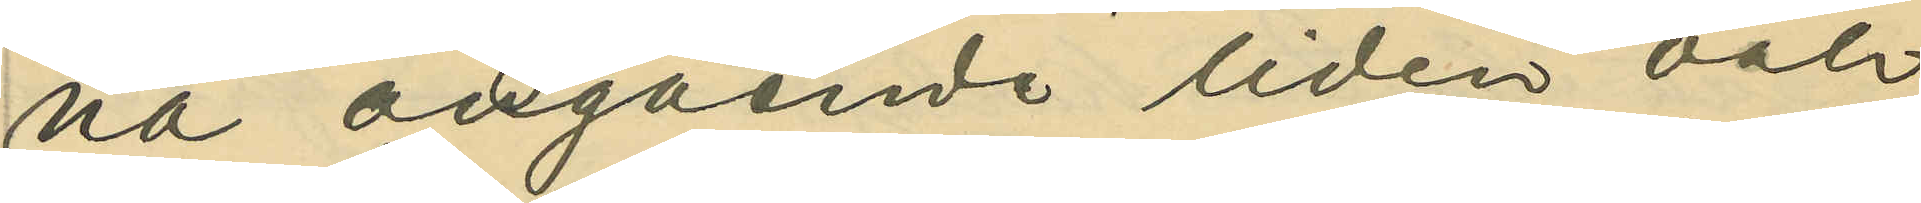na angående tiden och
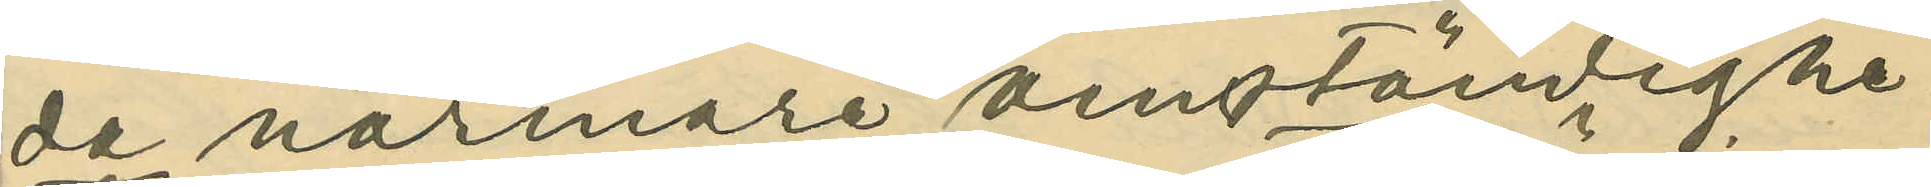de närmare omständighe¬
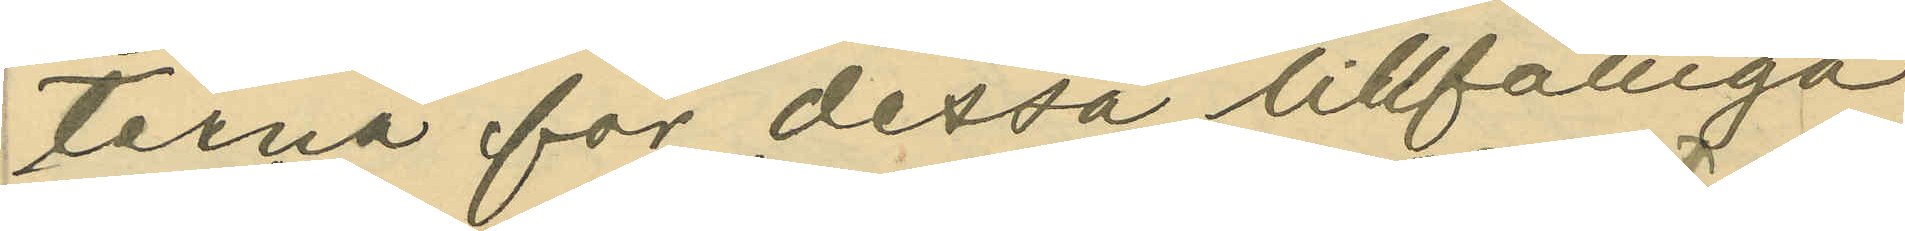terna för dessa tillfälliga
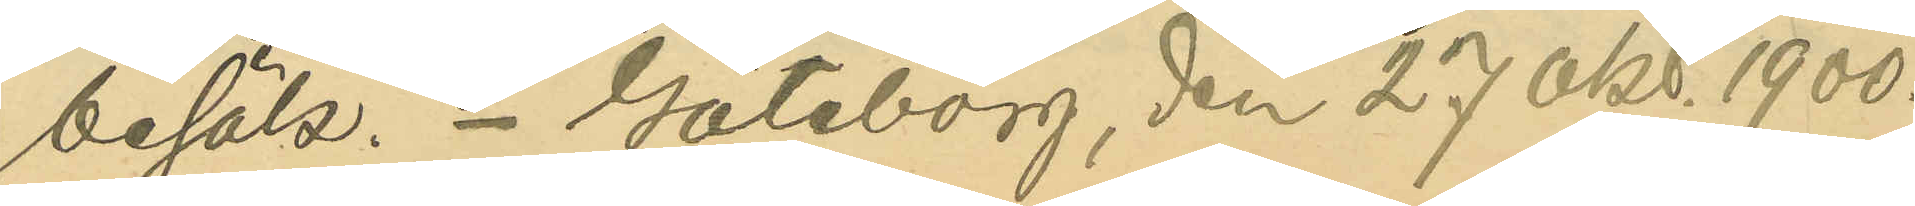besök. Göteborg, den 27 okt. 1900.
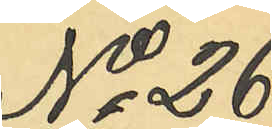No 26
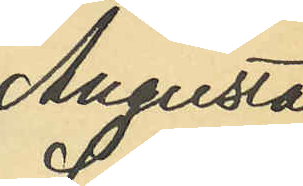Augusta
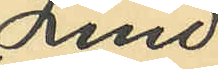Lind¬
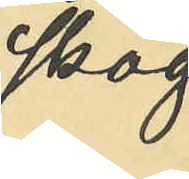skog.
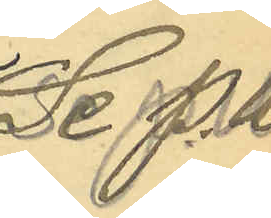Se P. U.
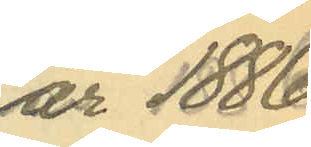år 1886
